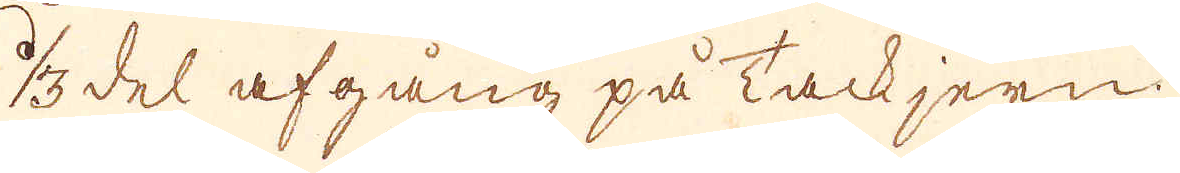1/3 del afgång på Tackjern
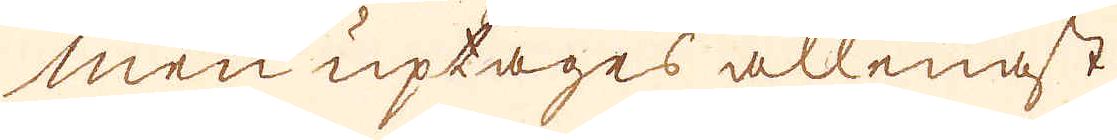men uptages allenast
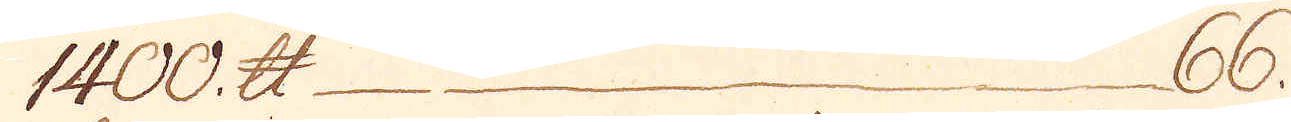1400. skålpund 66.
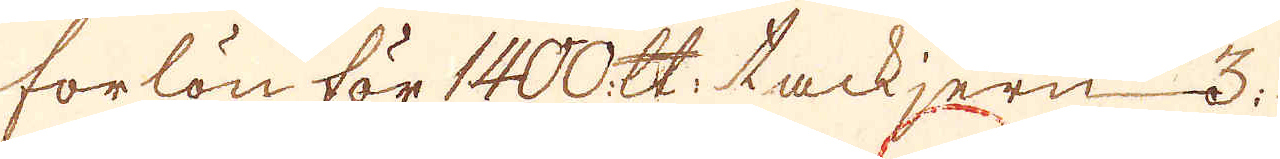forlön för 1400. skålpund tackjern 3:
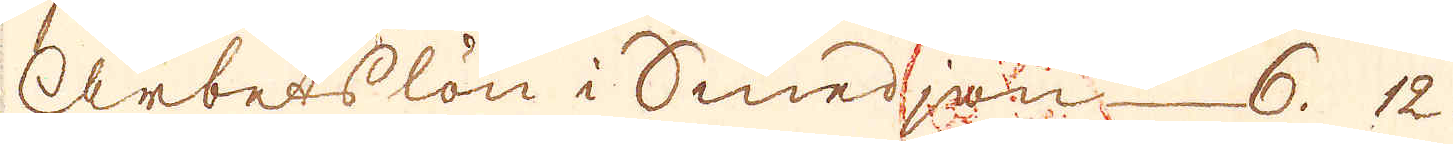Arberslön i Smedjan 6. 12
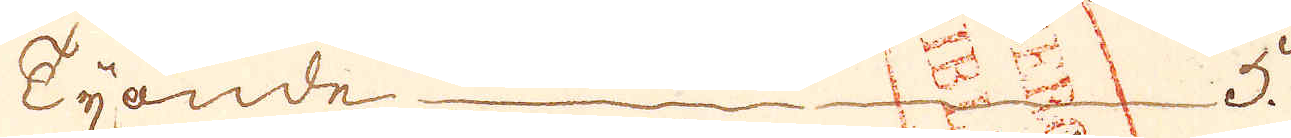Tionde 5.
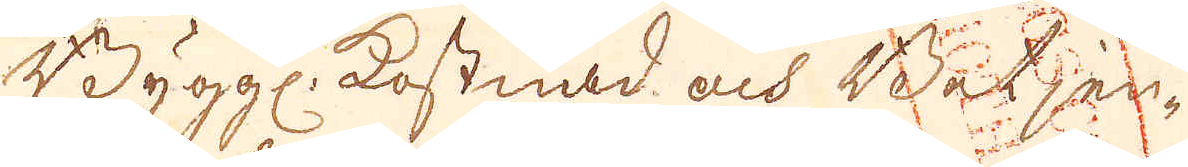Byggl. kostnad och Betjen-
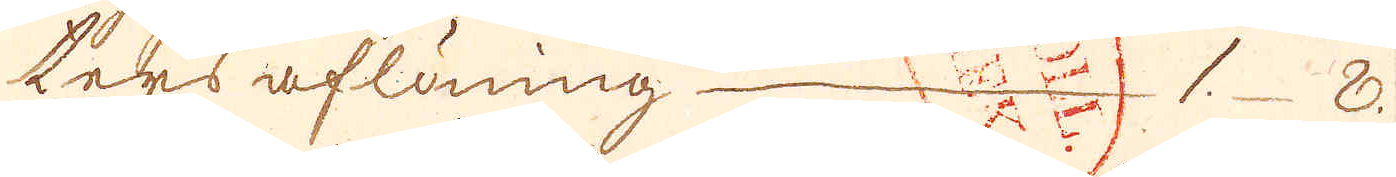ters aflöning 1. 8.
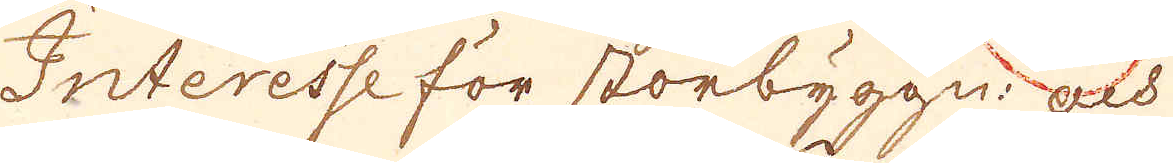Interesse för storbyggn: och
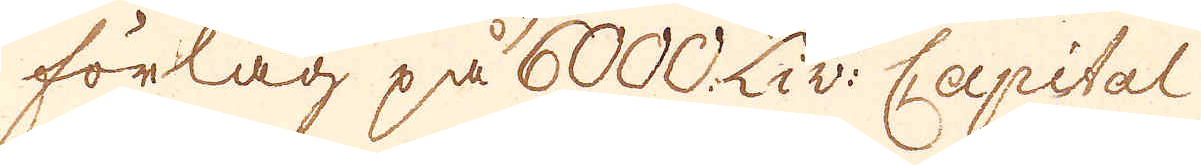förlag på 6000 Liv: Capital
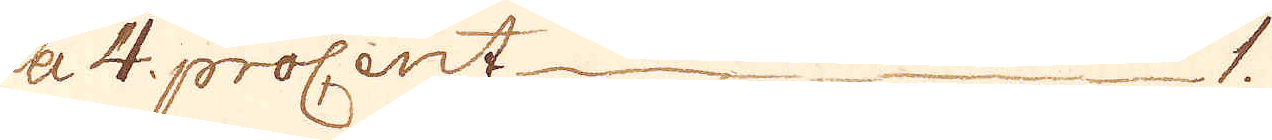a 4 procent 1.
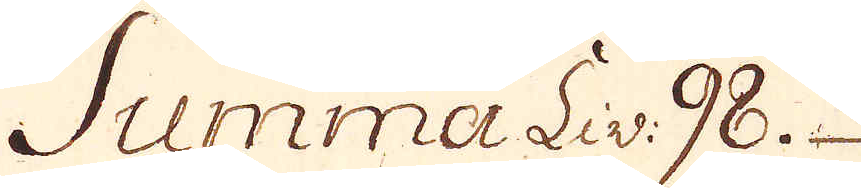Summa Liv: 98.
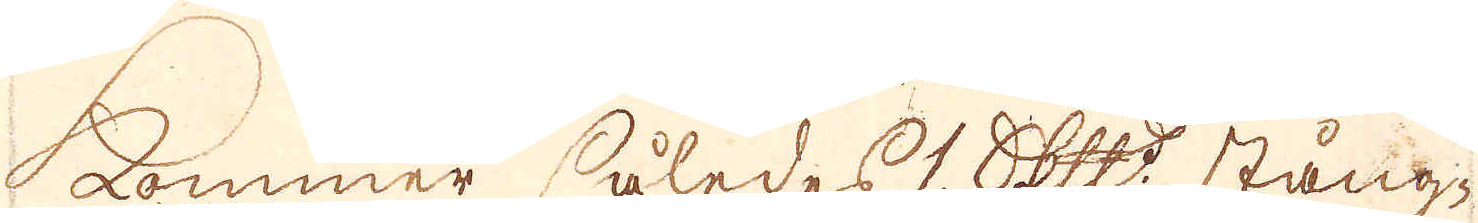Kommer således 1. Skepppund: stång-
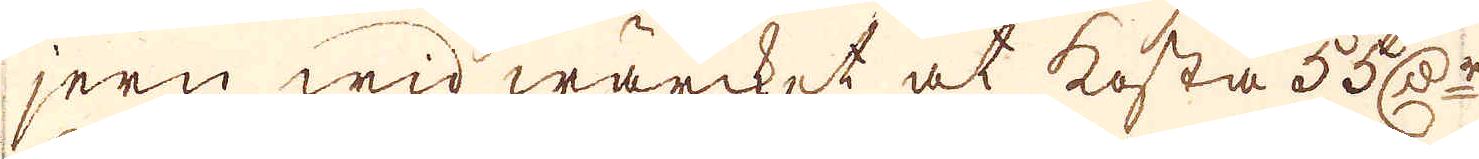jern wid wärcket at kosta 55 daler
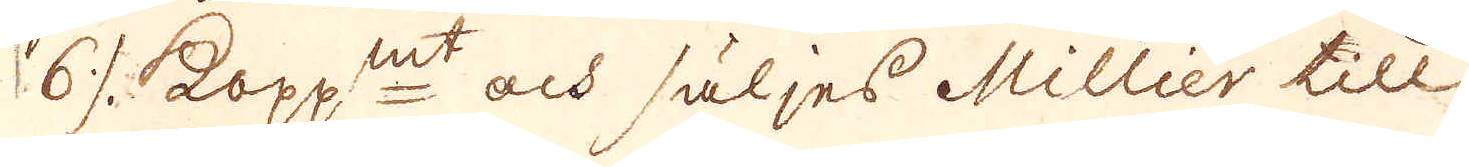6⁒ Kopp:mt och säljes Millier till
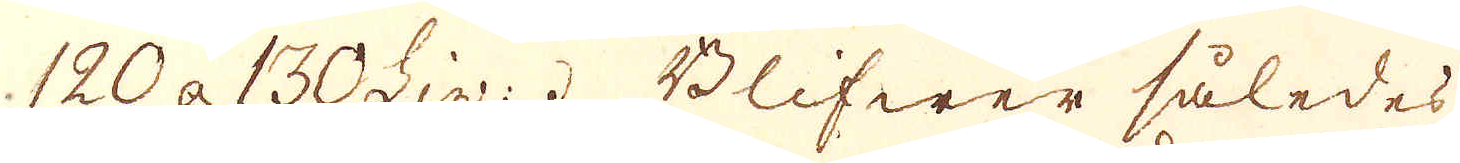120 a 130 Liv:. Blifwer således
